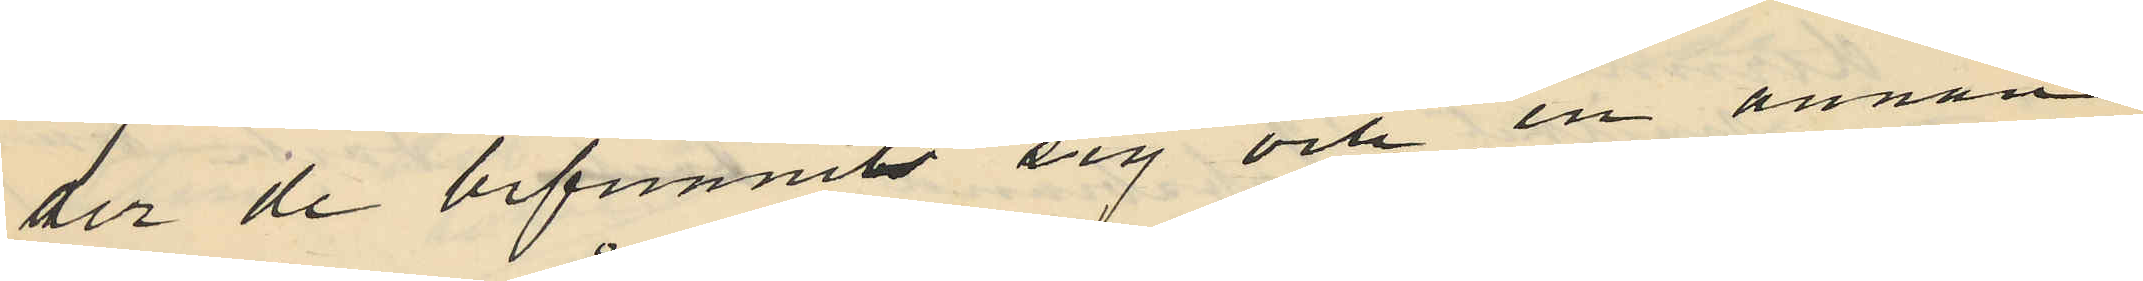der de befunnits sig och en annan
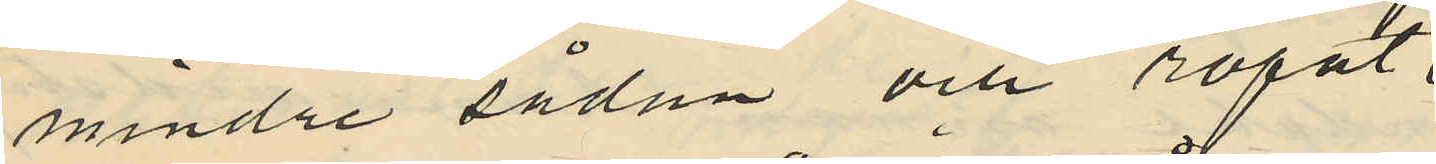mindre sådan och ropat
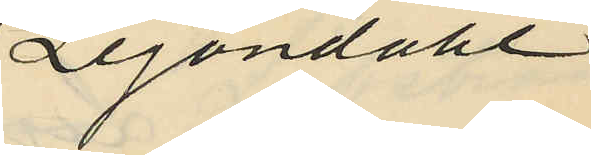Lejondahl
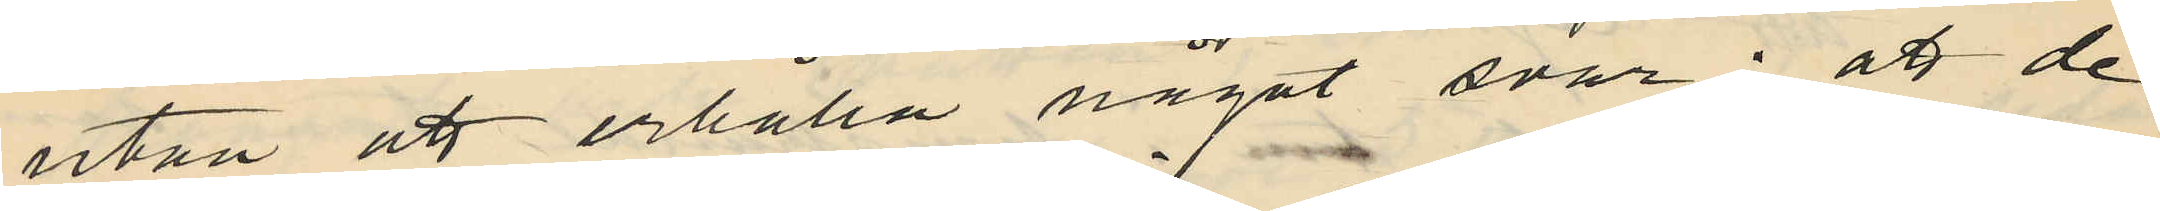utan att erhålla något svar; att de
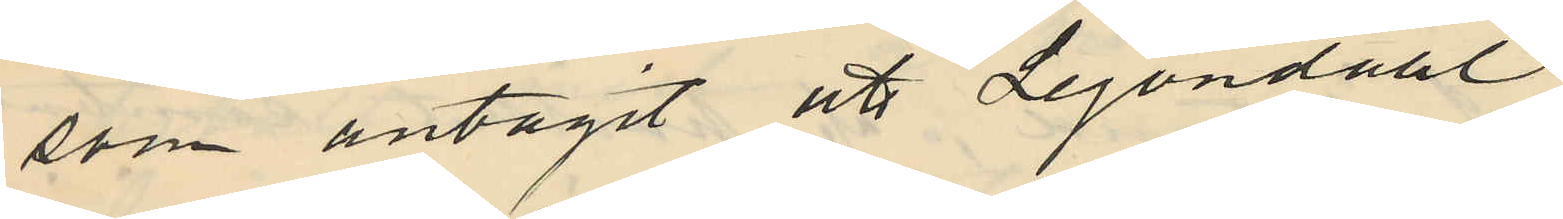som antagit att Lejondahl
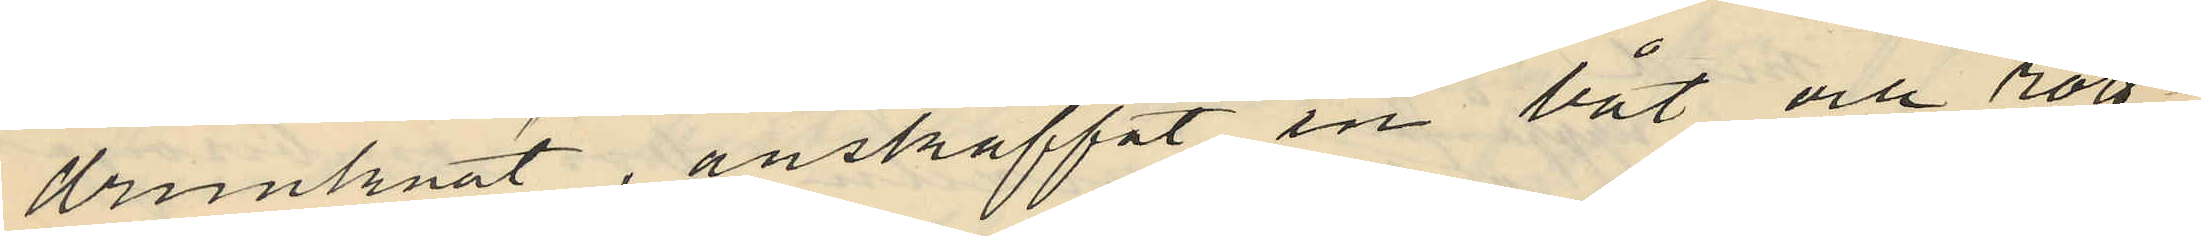drunknat, anskaffat en båt och rott
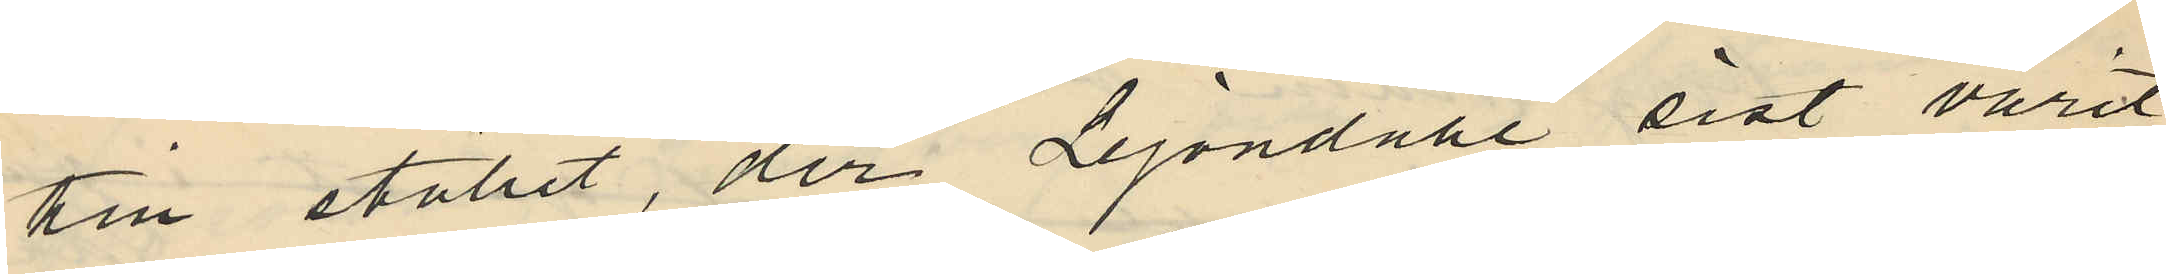till stället, der Lejondahl sist varit
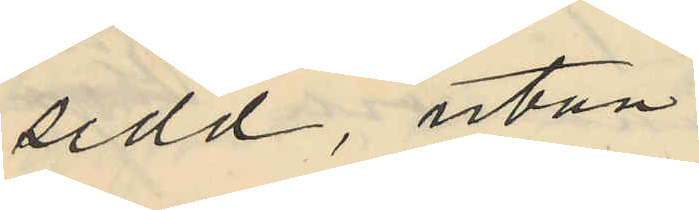sedd, utan
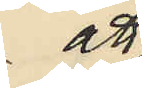att
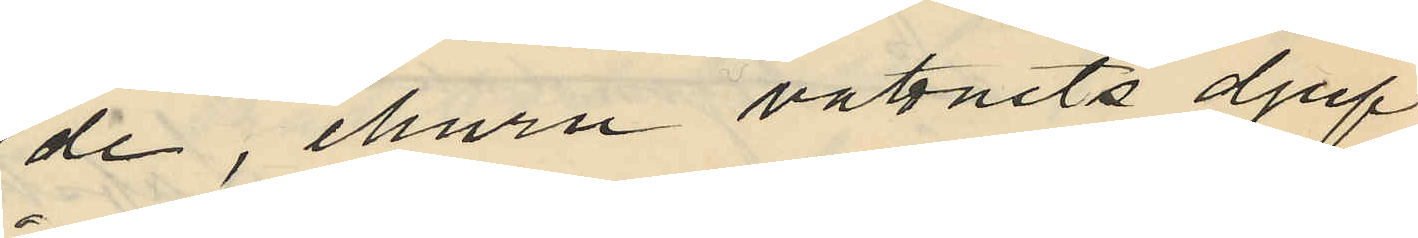de, ehuru vattnets djup
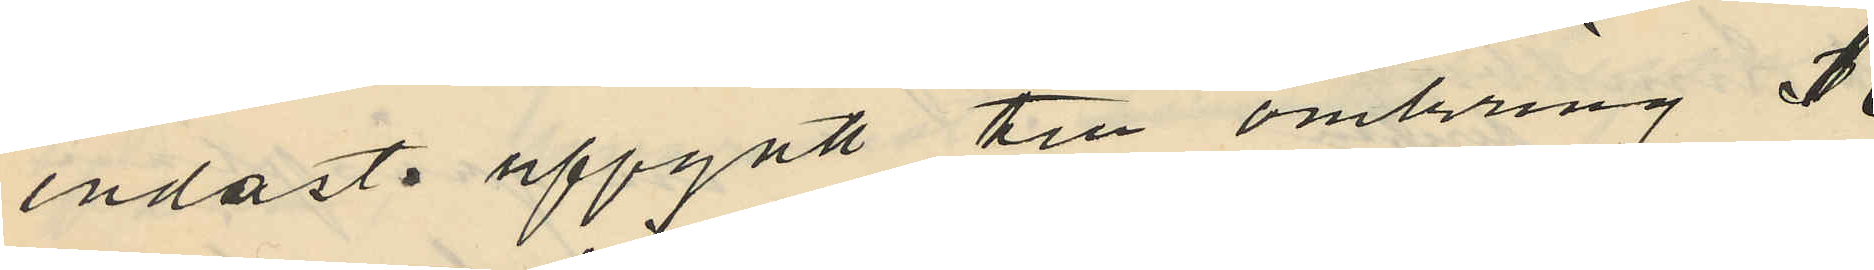endasts uppgått till omkring 1
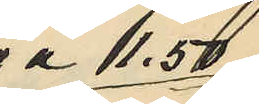á 1,50
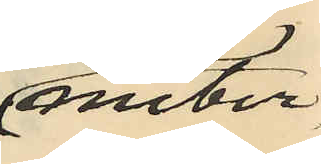meter
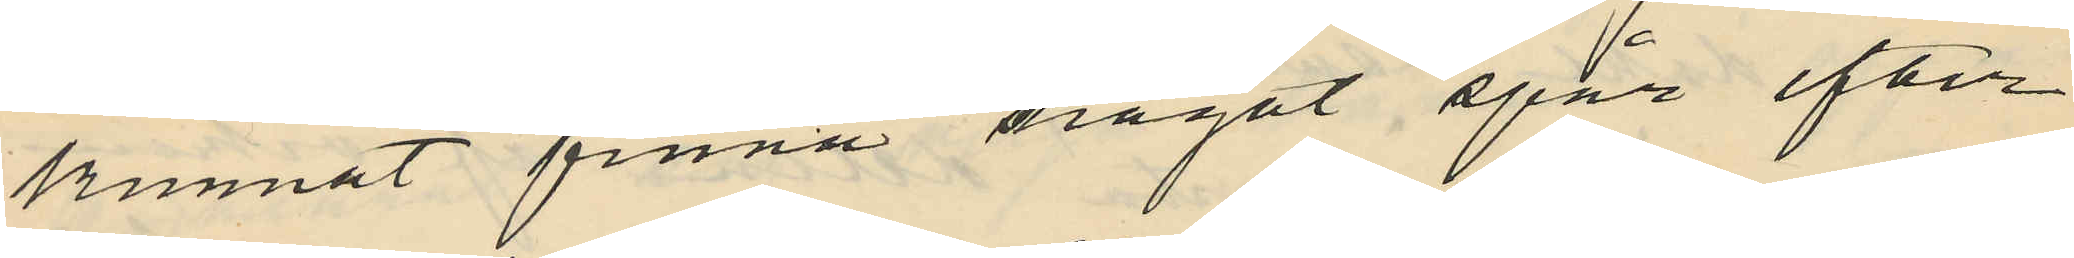kunnat finna något spår efter
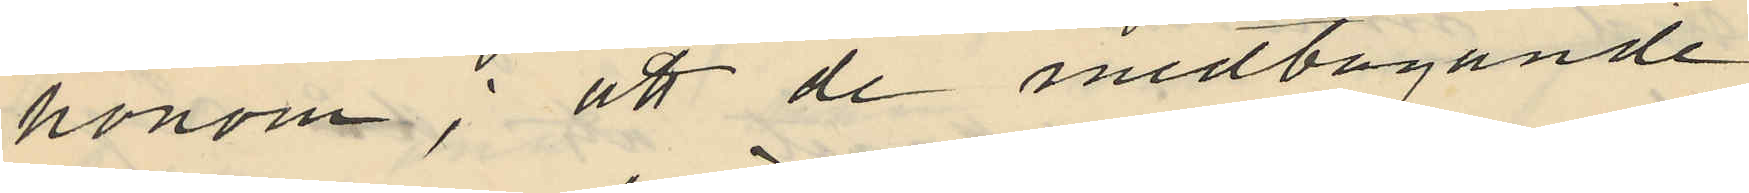honom; att de medtagande
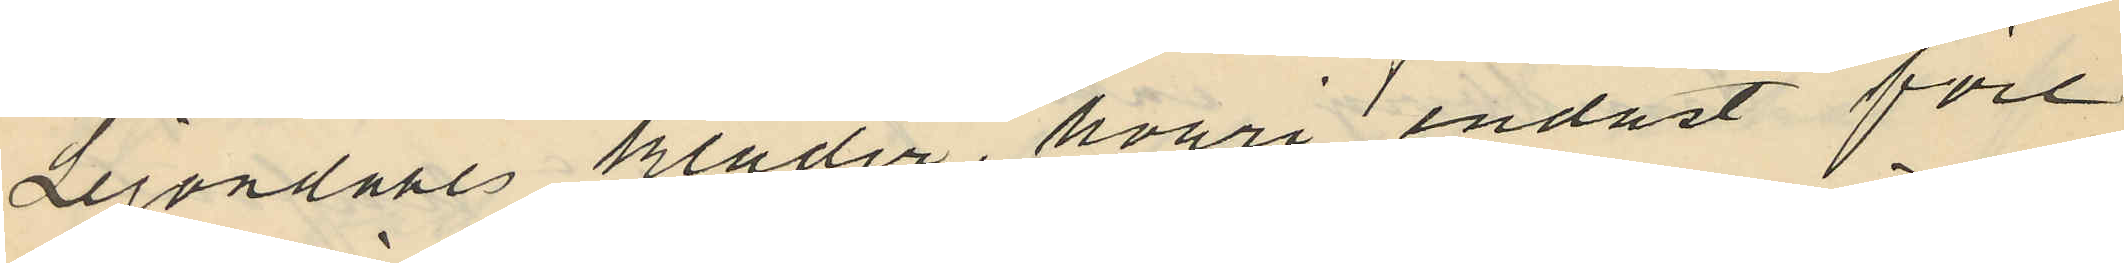Lejondahls kläder, hvari endast före¬
